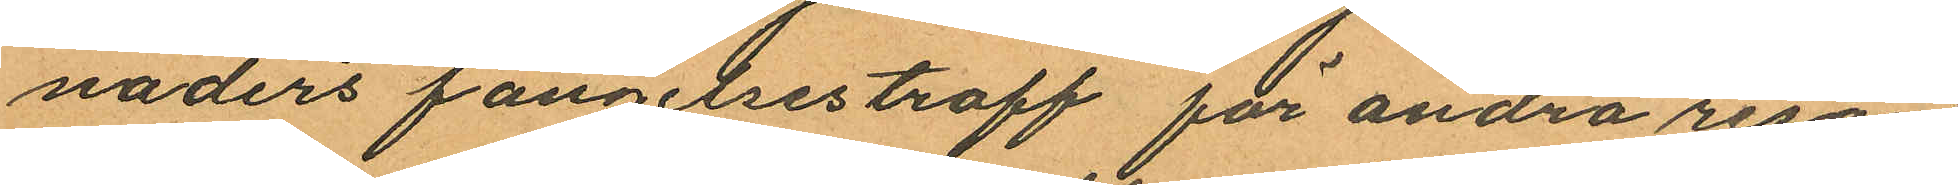naders fängelsestraff för andra resan
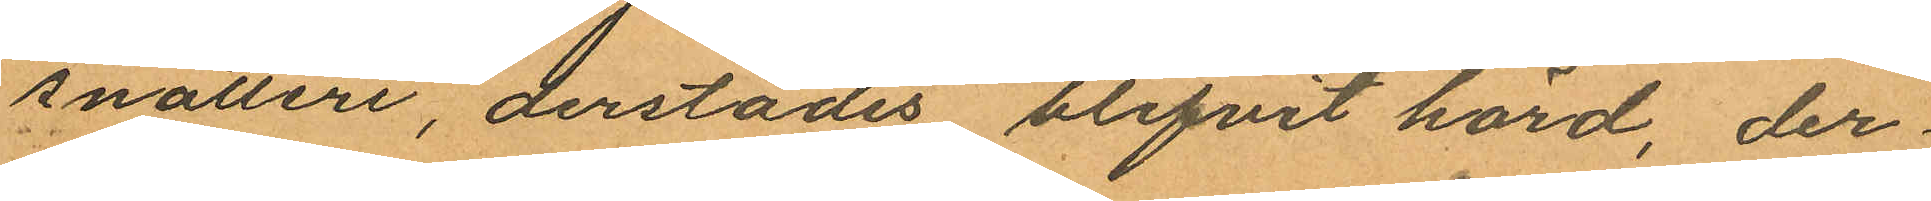snatteri, derstädes blifvit hörd, der¬
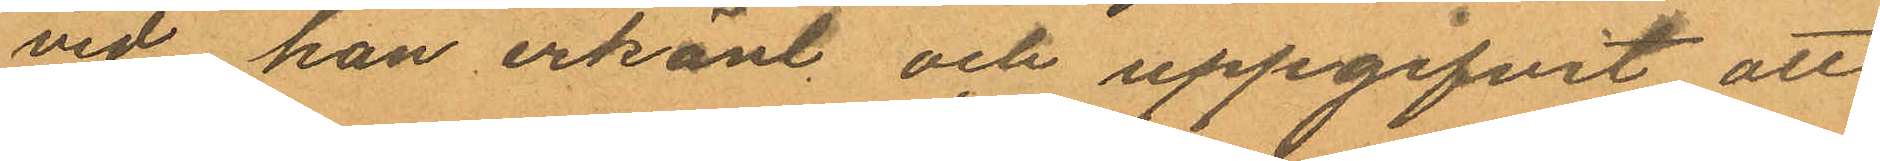vid han erkänt och uppgifvit att
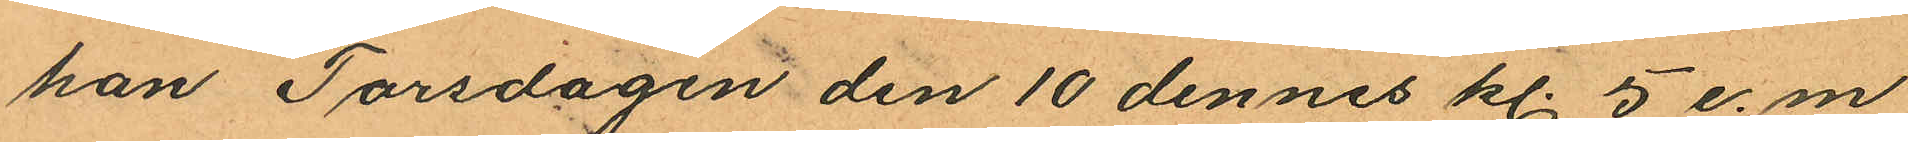han Torsdagen den 10 dennes kl. 5 e.m.
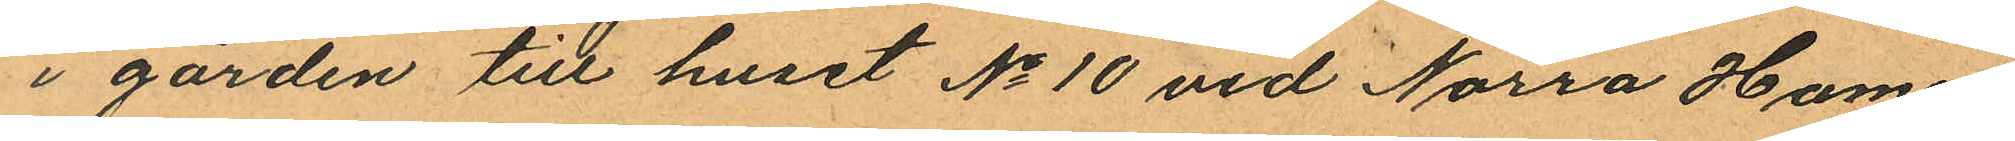i gården till huset No 10 vid Norra Hamn¬
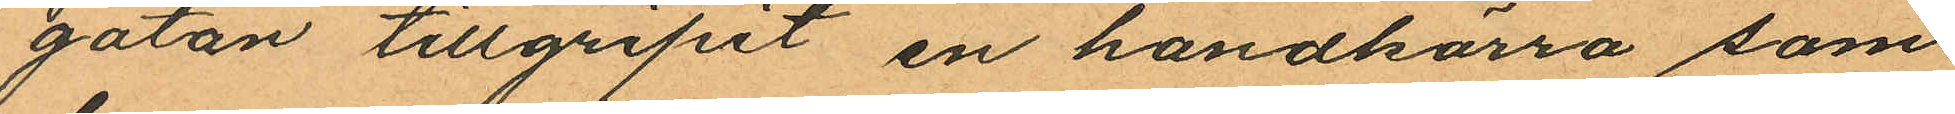gatan tillgripit en handkärra som
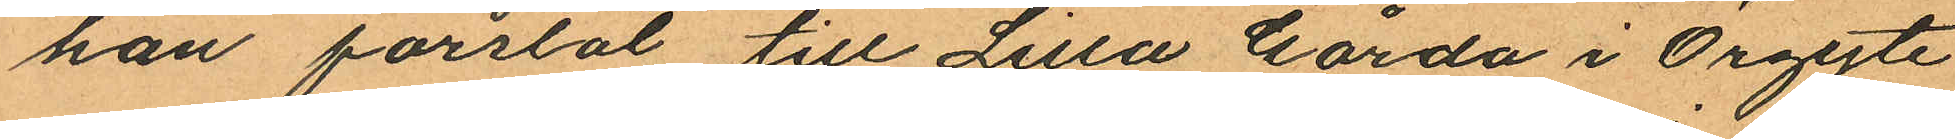han forslat till Lilla Gårda i Örgyte
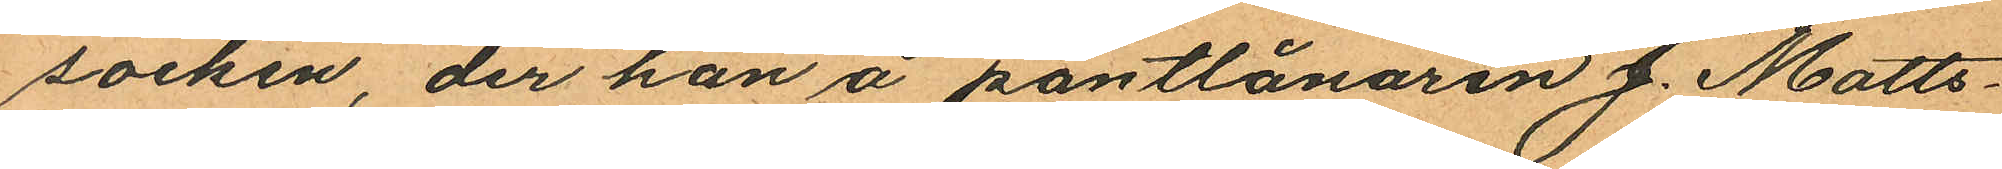socken, der han å pantlånaren J. Matts¬
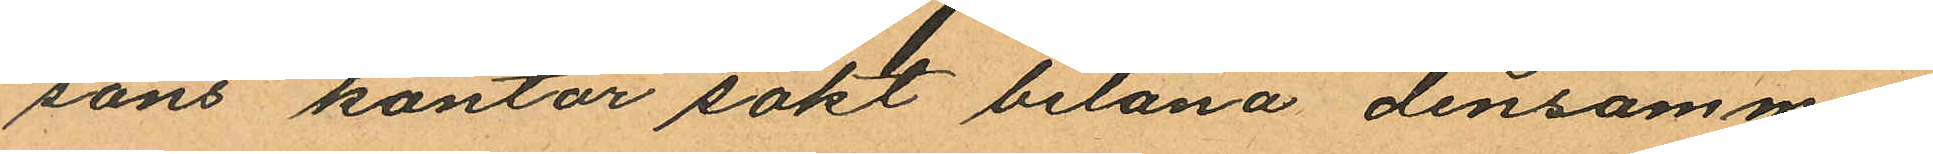sons kontor sökt belåna densamma,
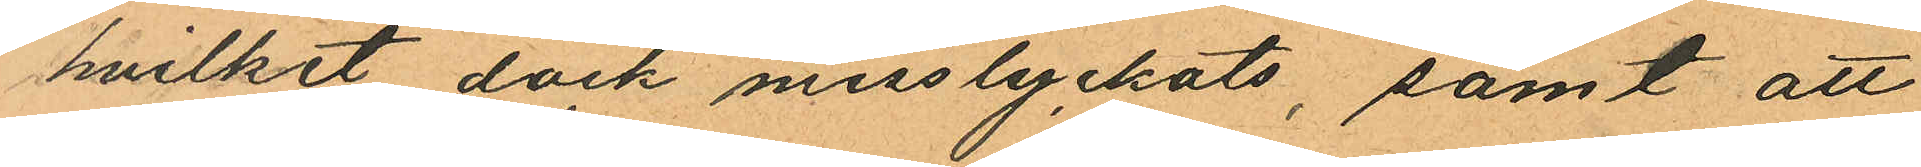hvilket dock misslyckats, samt att
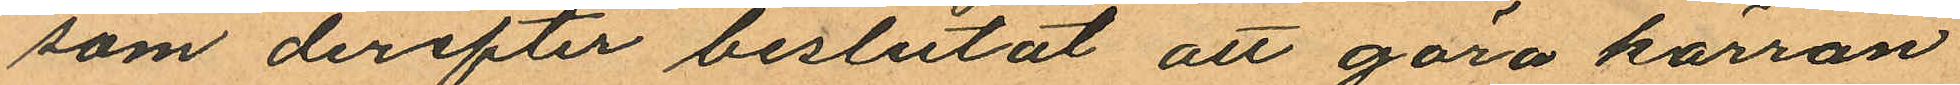som derefter beslutat att göra kärran
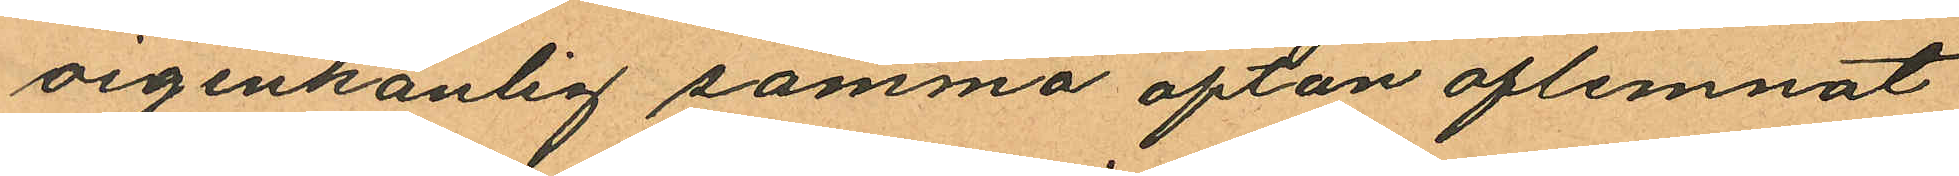oigenkänlig samma afton aflemnat
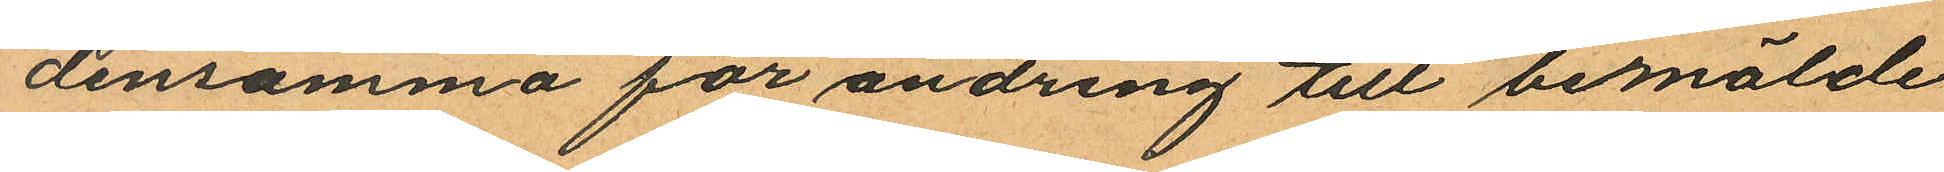densamma för ändring till bemälde
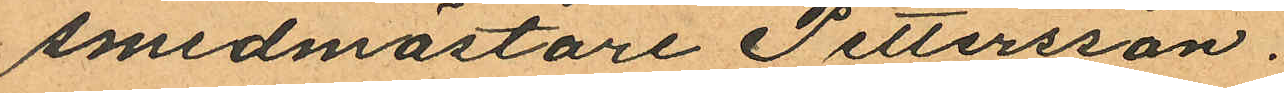smedmästare Pettersson.
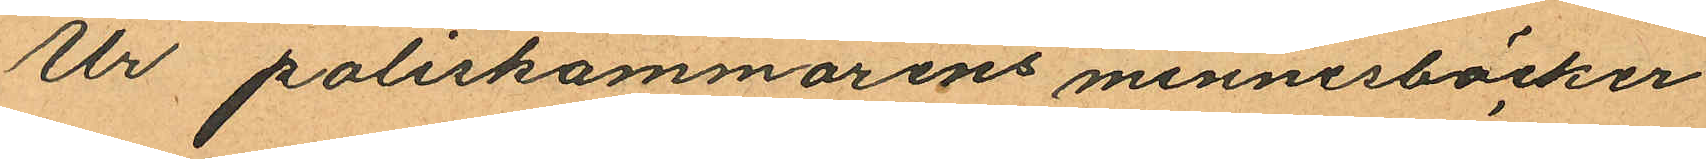Ur poliskammarens minnesböcker
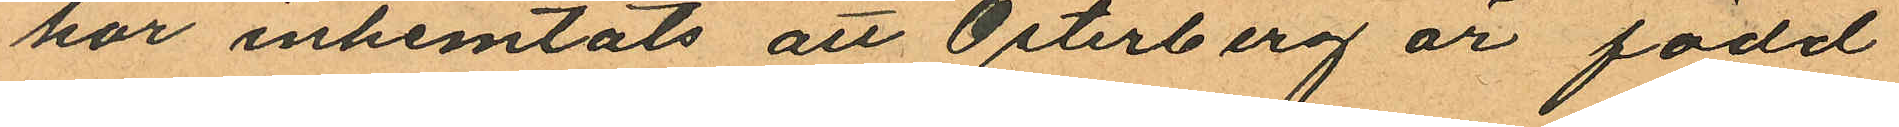har inhemtats att Österberg är född
